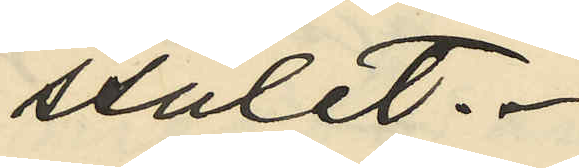stulet.
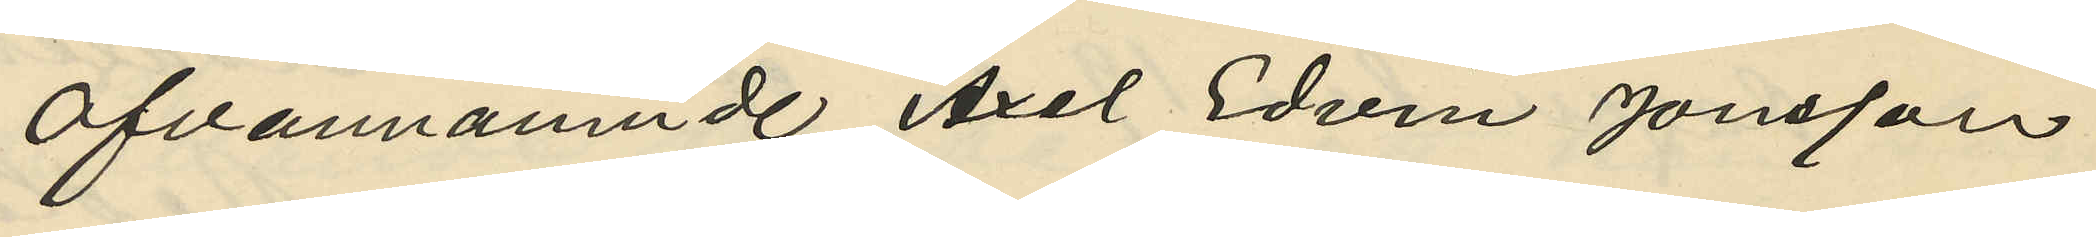Ofvannämnde Axel Edvin Jönsson
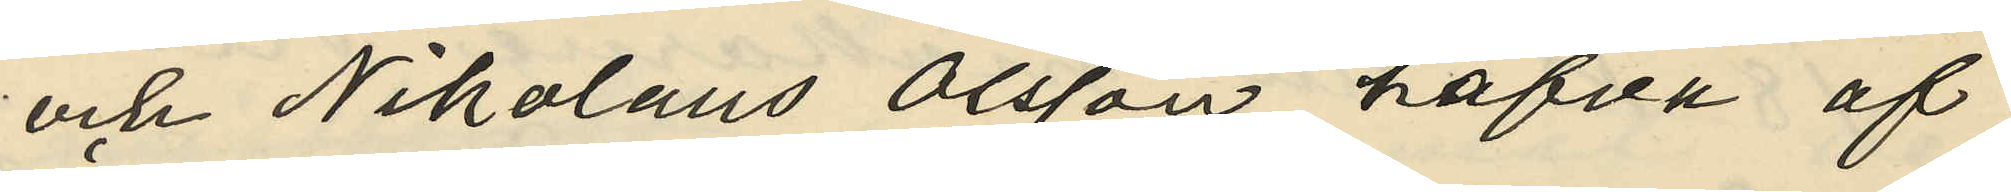och Nikolaus Olsson hafver af
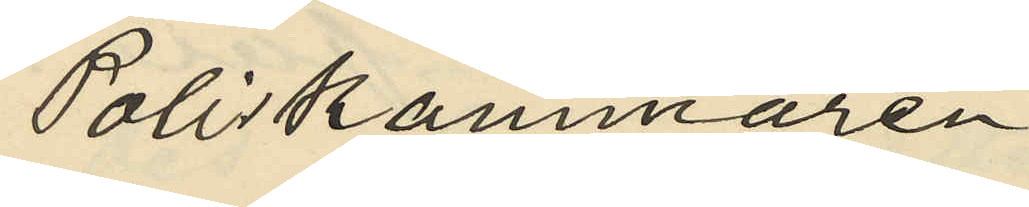Poliskammaren
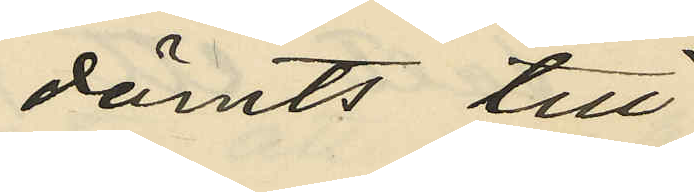dömts till
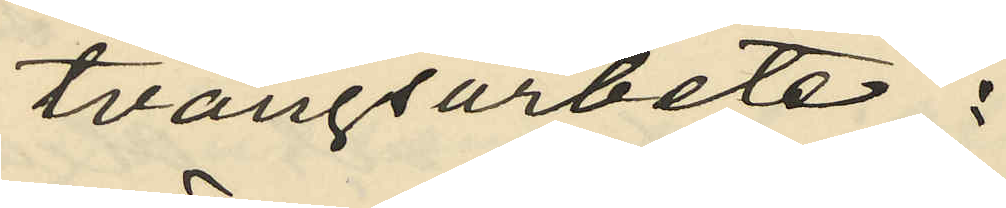tvångsarbete;
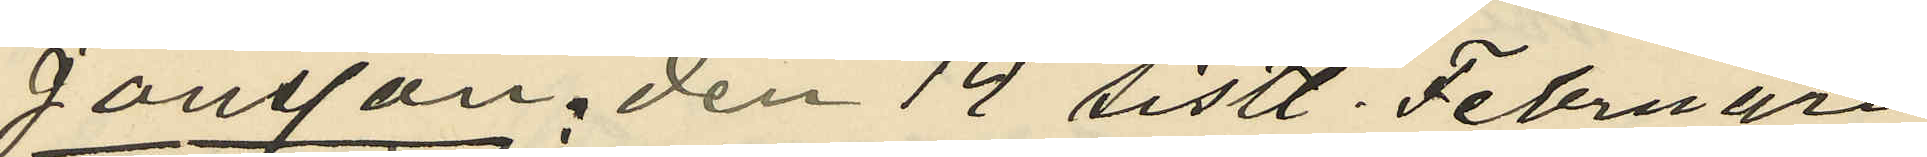Jönsson: den 14 sistl. Februari
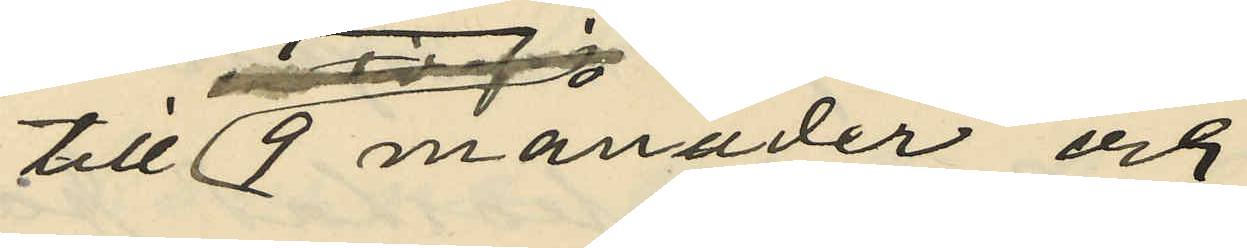till 9 månader och
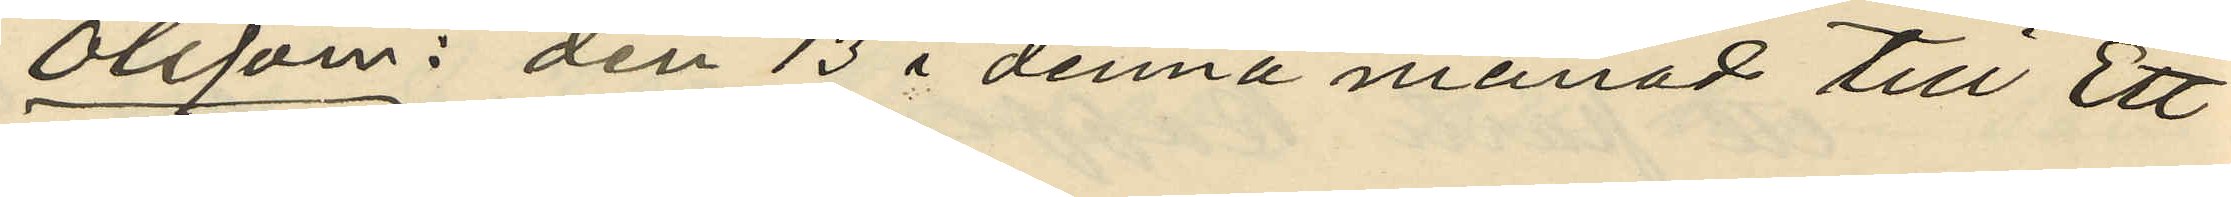Olsson: den 13 i denna månad till Ett
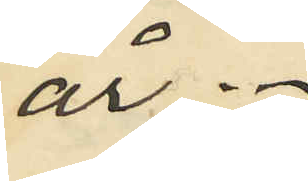år.
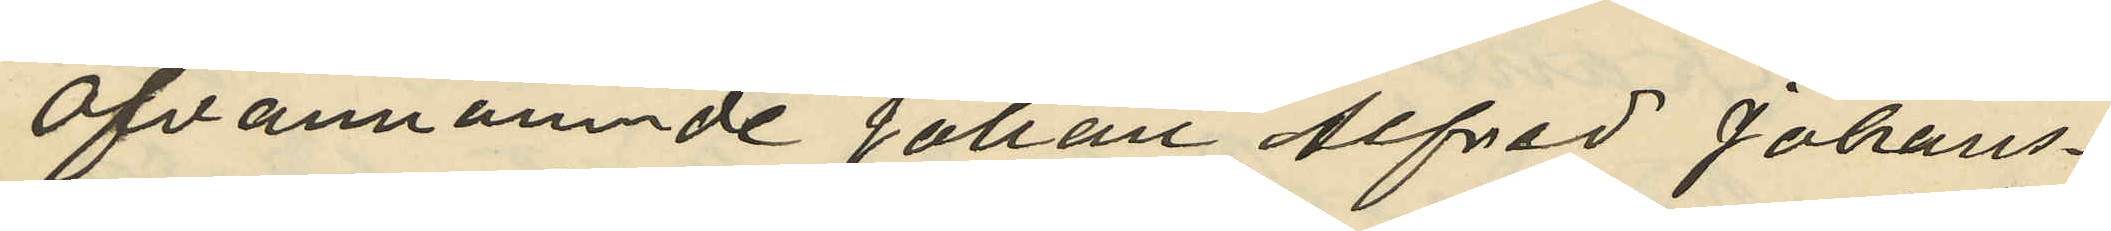Ofvannämnde Johan Alfred Johans¬
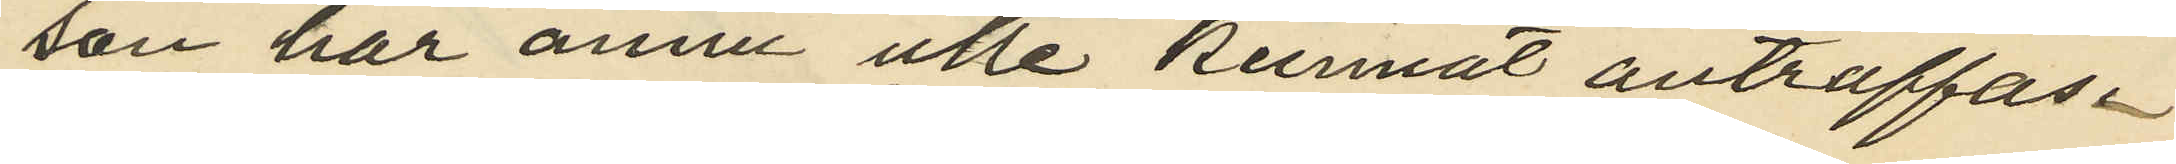son har ännu ictle kunnat anträffas.
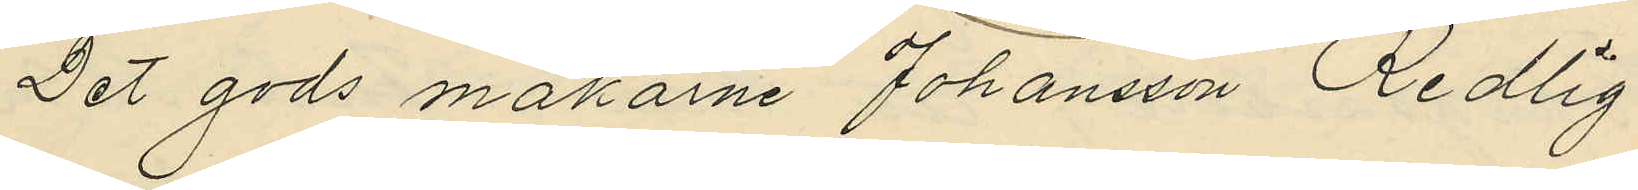Det gods makarne Johansson Redlig
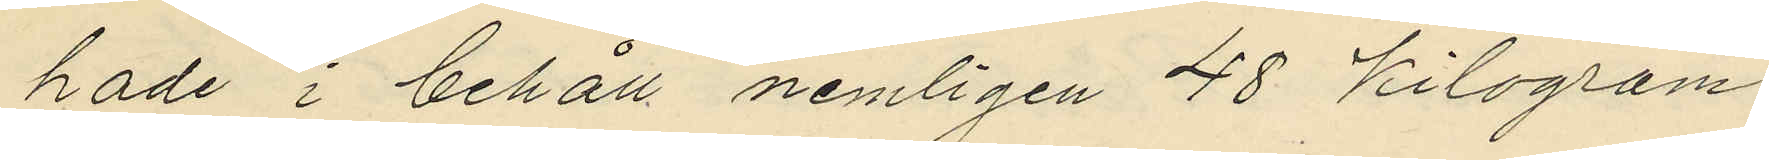hade i behåll nemligen 48 kilogram
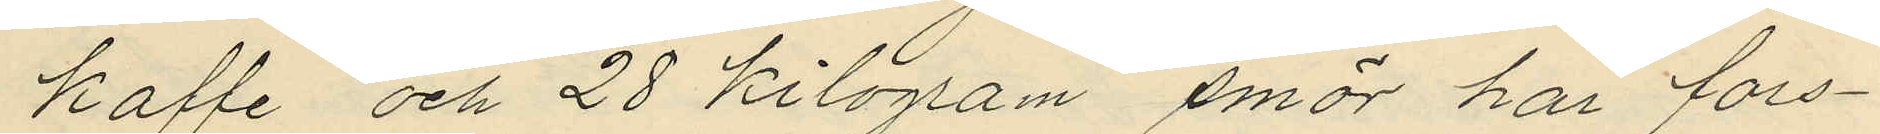kaffe och 28 kilogram smör har fors¬
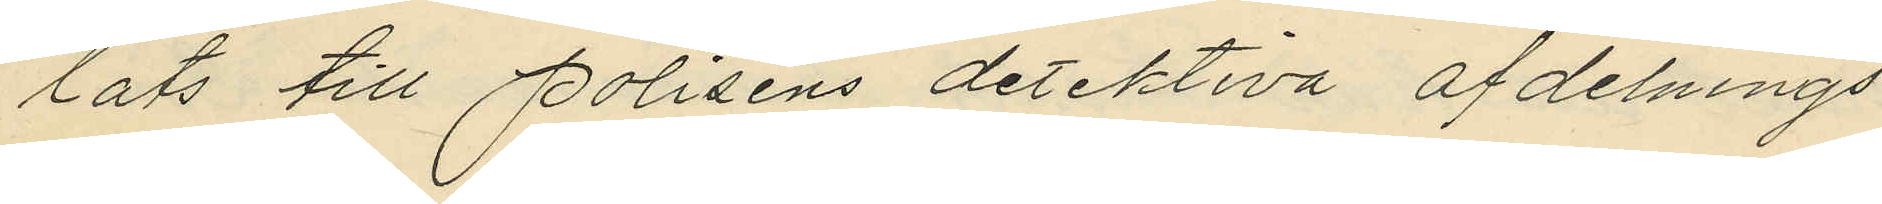lats till Polisens detektiva afdelnings¬
